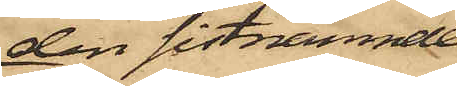den sistnämnde,
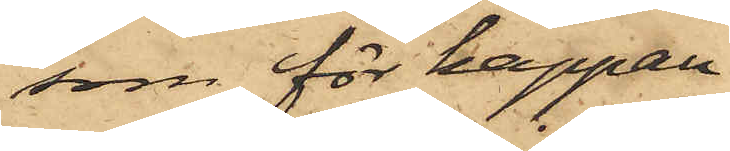som för kappan
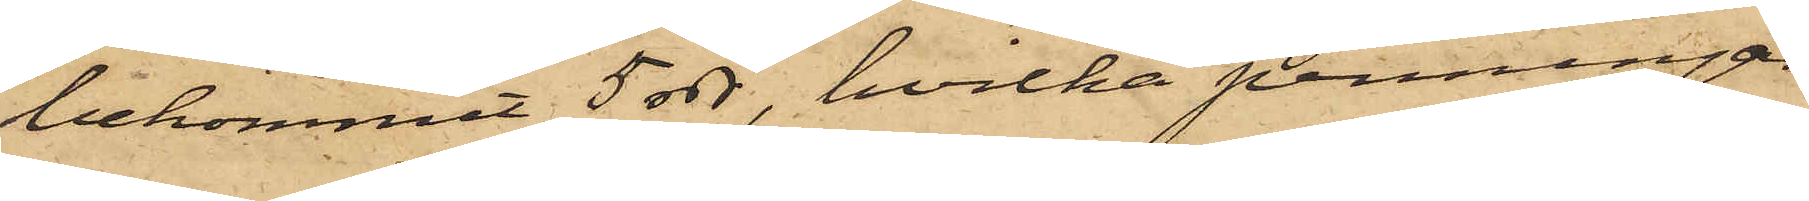bekommit 5 rdr, hvilka penningar
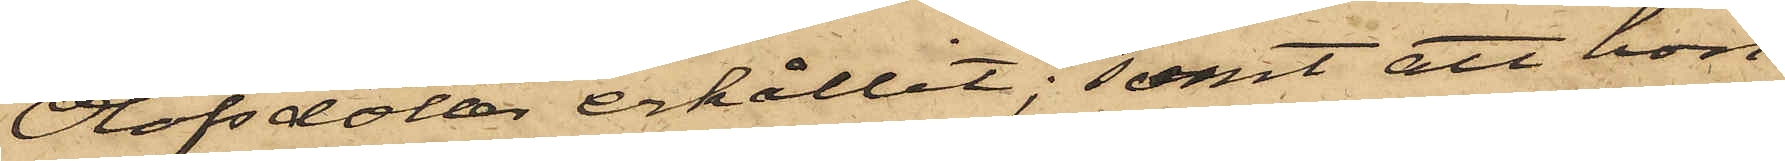Olofsdotter erhållit; samt att hon
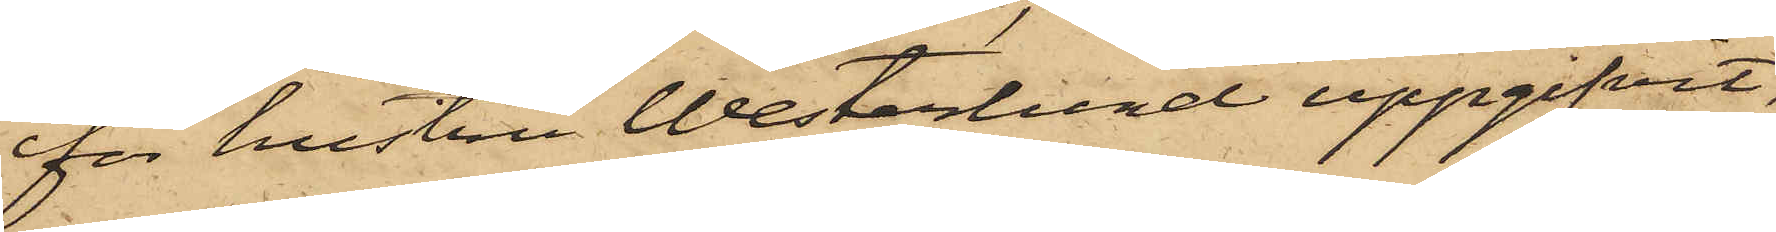för hustru Westerlund uppgifvit,
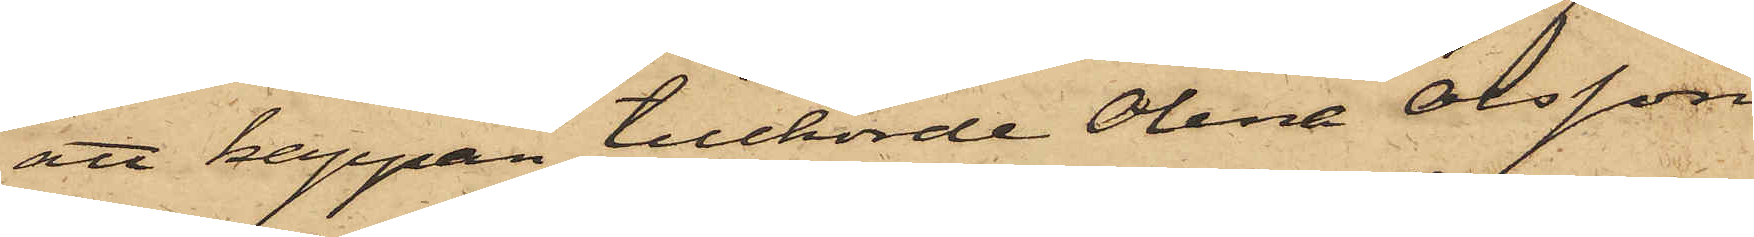att kappan tillhörde Olena Olsson
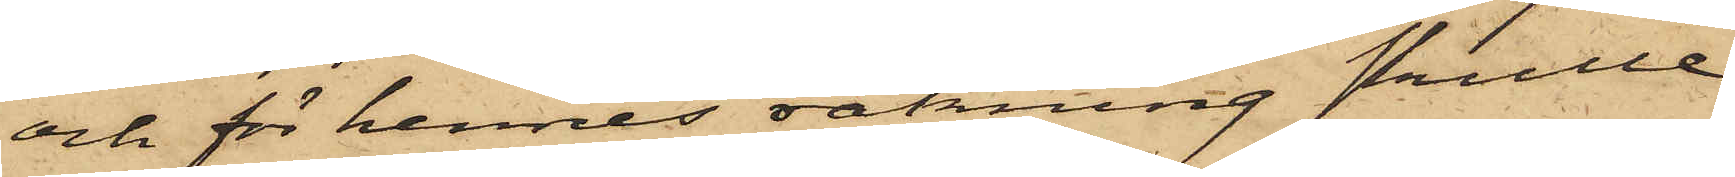och för hennes sakning skulle
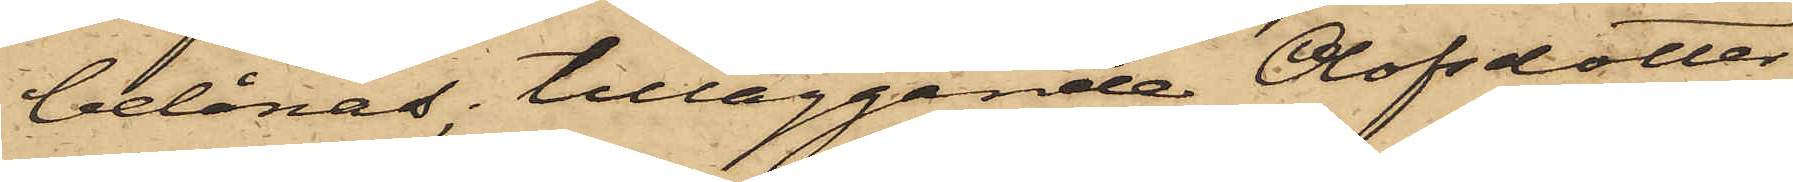belånas; tilläggande Olofsdotter
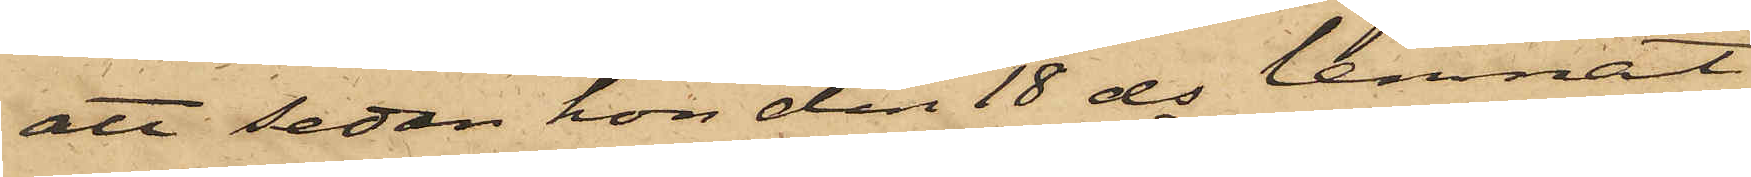att sedan hon den 18 ds lemnat
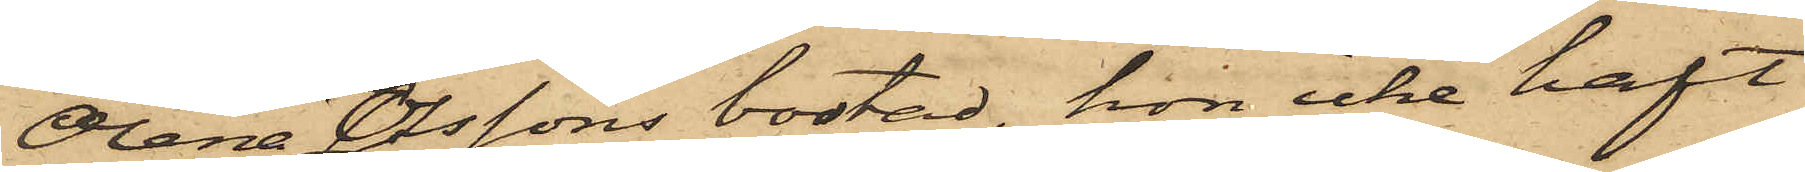Olena Olssons bostad, hon icke haft
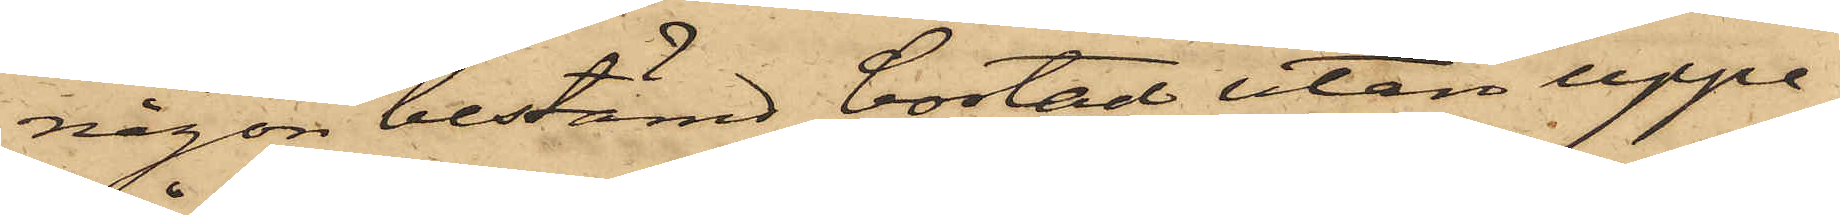någon bestämd bostad utan uppe¬
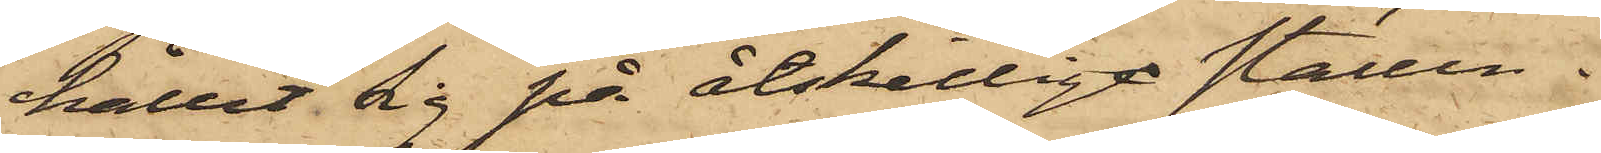hållit sig på åtskillige ställen.
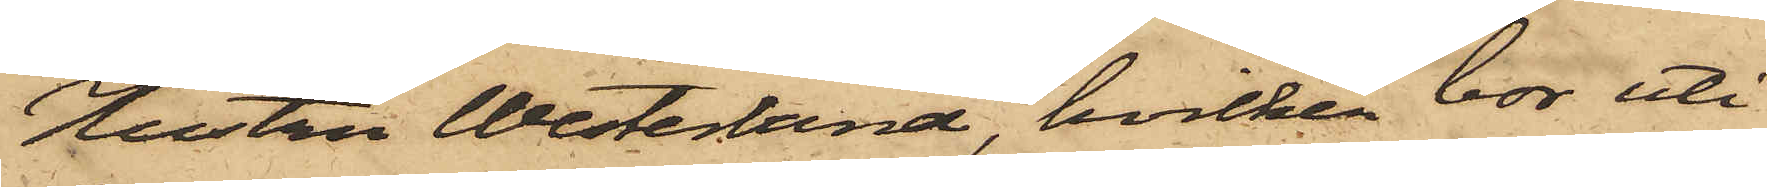Hustru Westerlund, hvilken bor uti
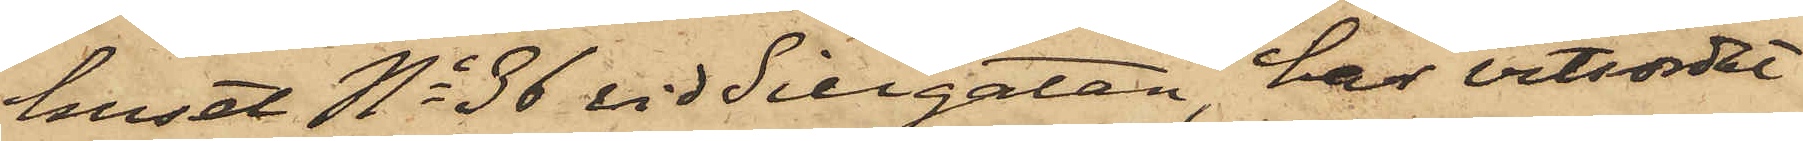huset No 36 vid Sillgatan, har vitsordat
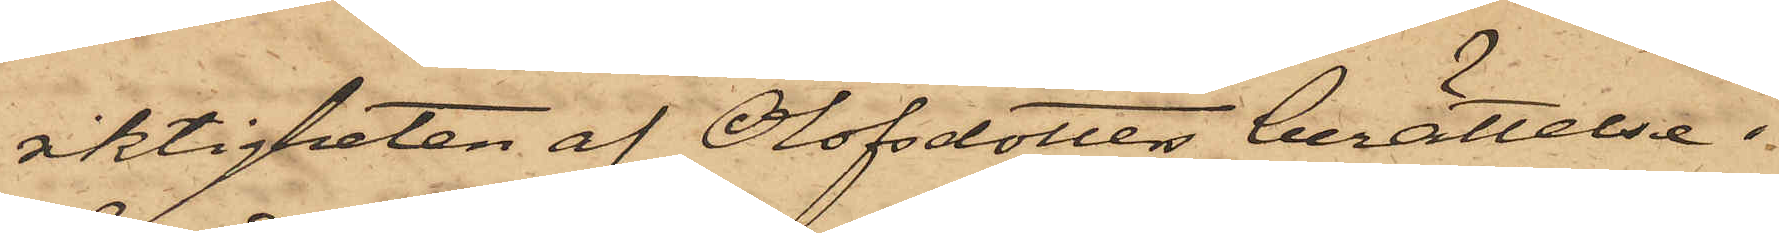riktigheten af Olofsdotter berättelse i
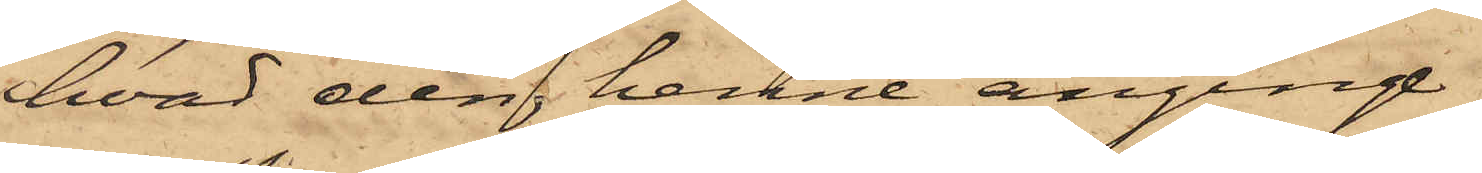hvad den henne anginge.
